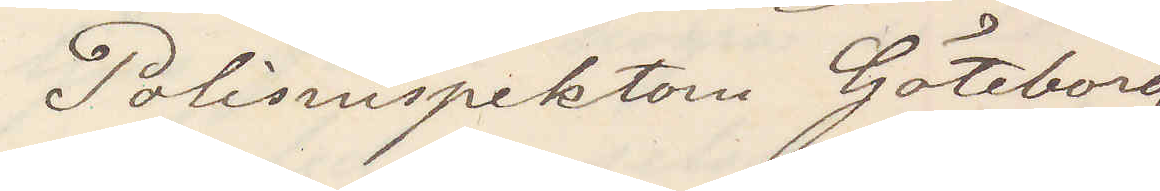Polisinspektorn Göteborg
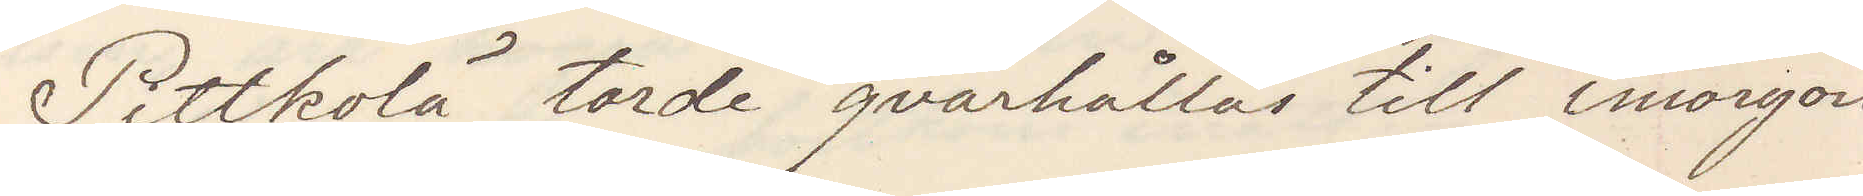Pittkolä torde qvarhållas till imorgon
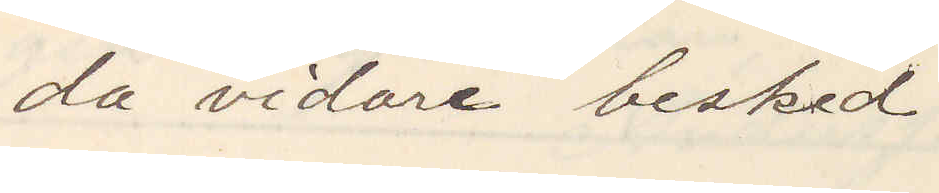då vidare besked.
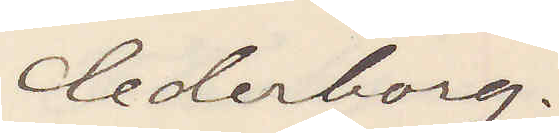Cederborg.
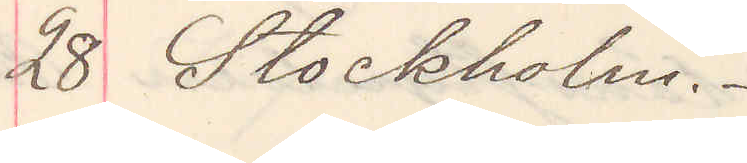28 Stockholm.
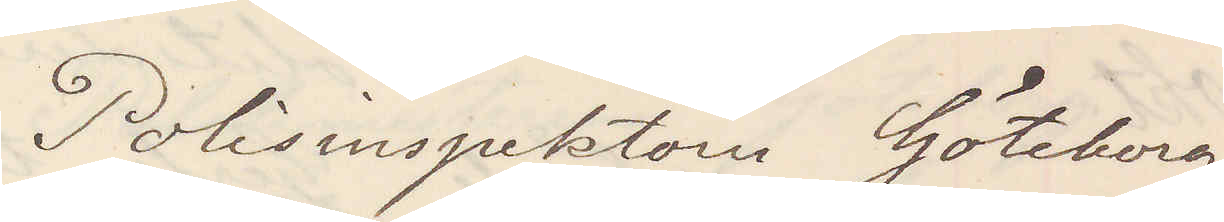Polisinspektorn Göteborg
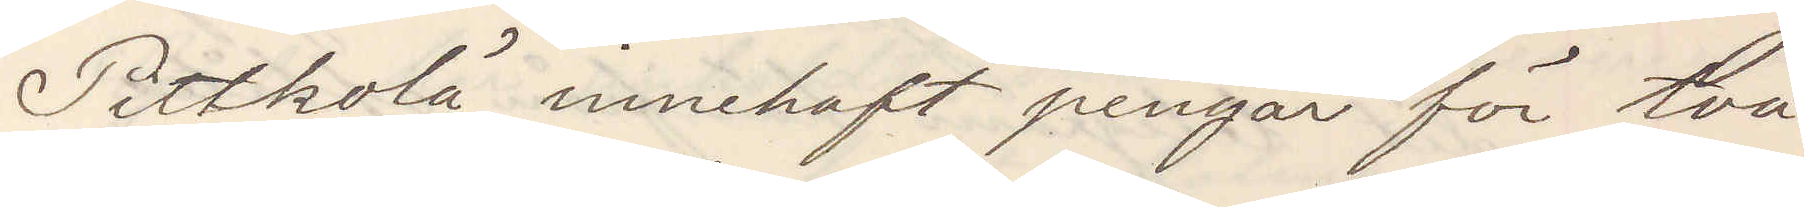Pittkolä innehaft pengar för två
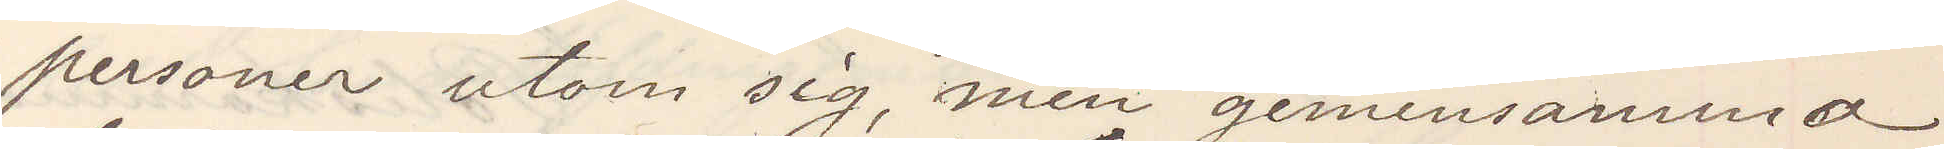personer utom sig, men gemensamma
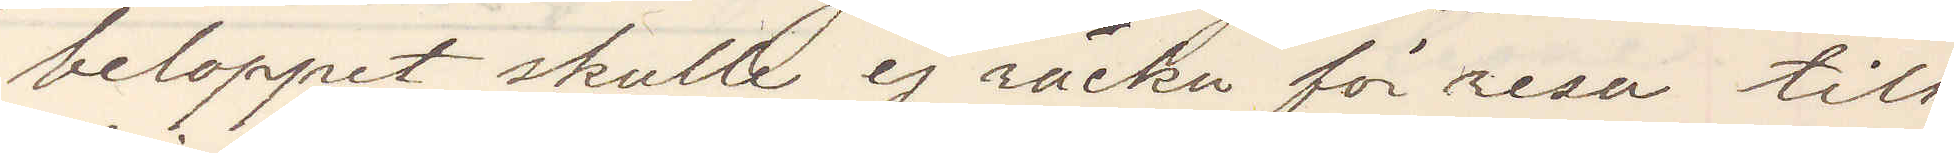beloppet skulle ej räcka för resa till
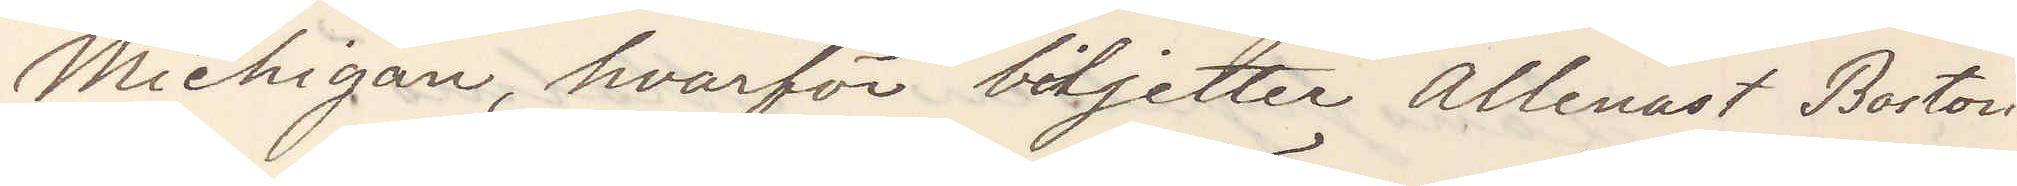Michigan, hvarför biljetter allenast Boston.
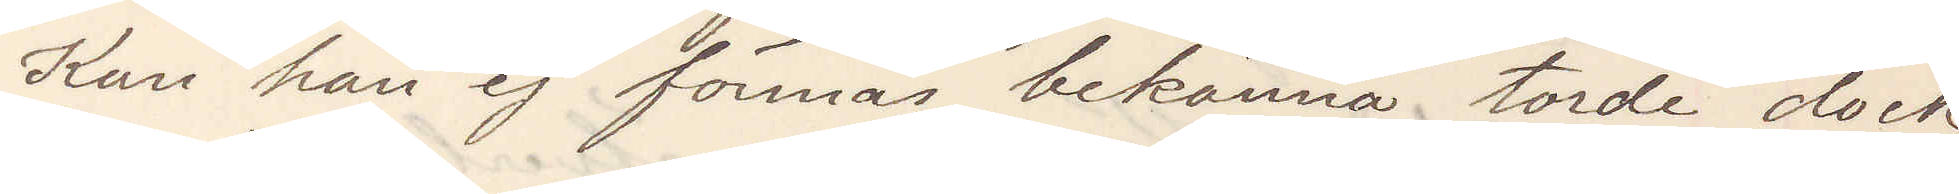Kan han ej förmås bekänna torde  dock
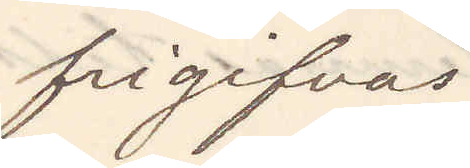frigifvas
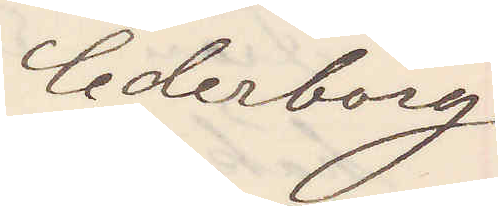Cederborg
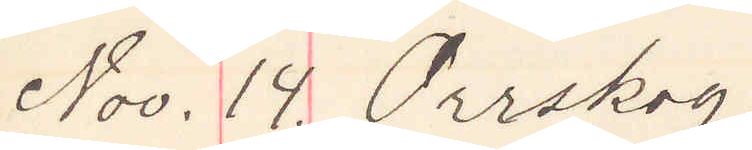Nov. 14. Orrskog.
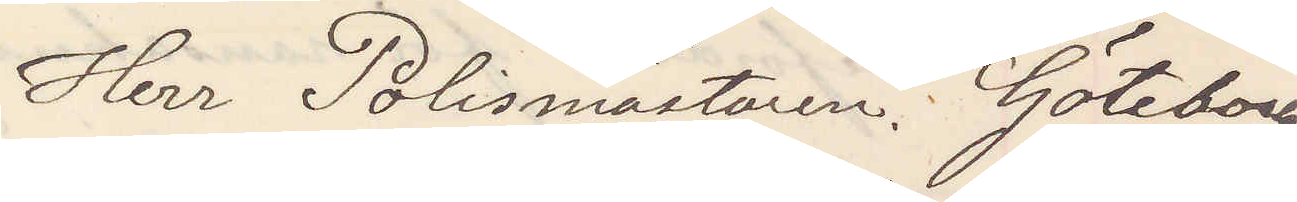Herr Polismästaren. Göteborg
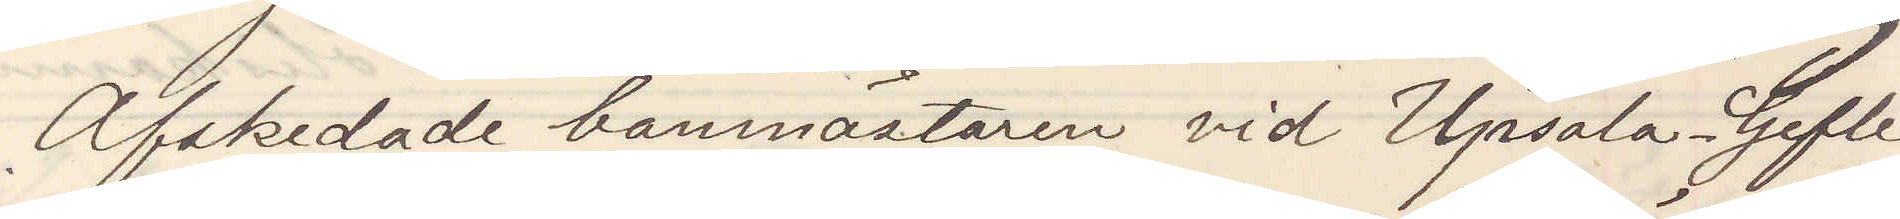Afskedade banmästaren vid Upsala-Gefle
